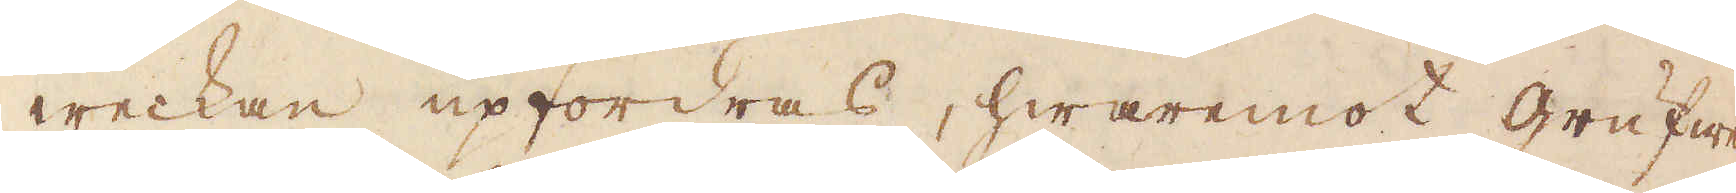weckan upfordras, hwaremot grufwe
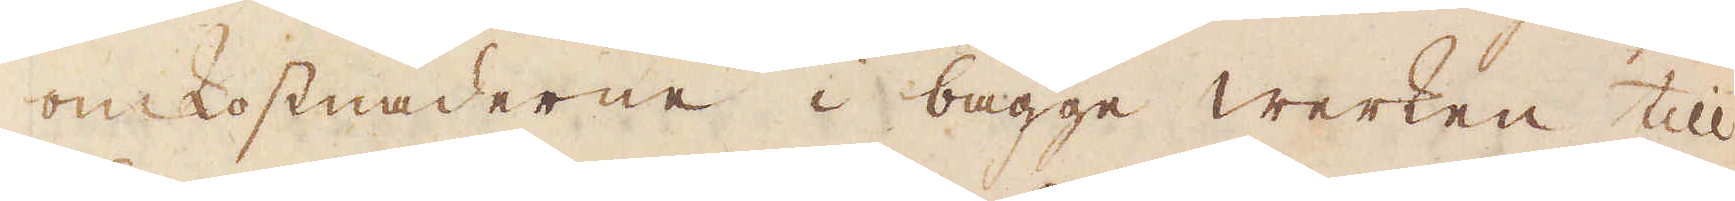omkostnaderne i bägge werken till
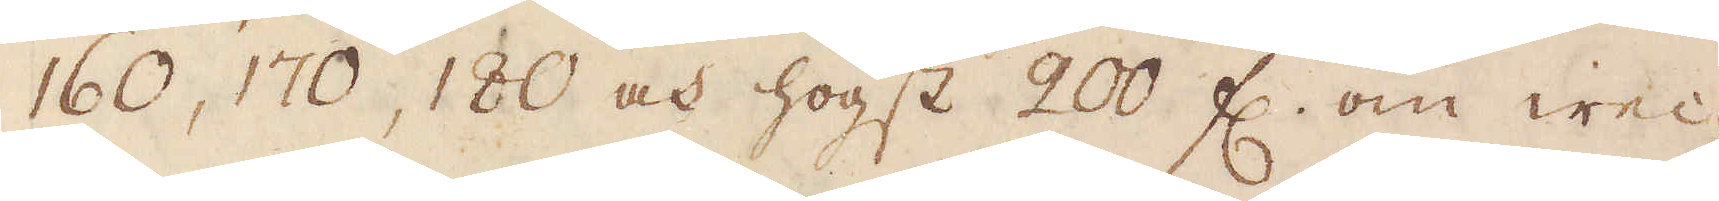160, 170, 180 och högst 200 fl. om wec-
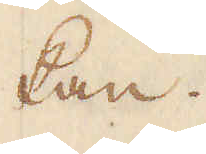kan.
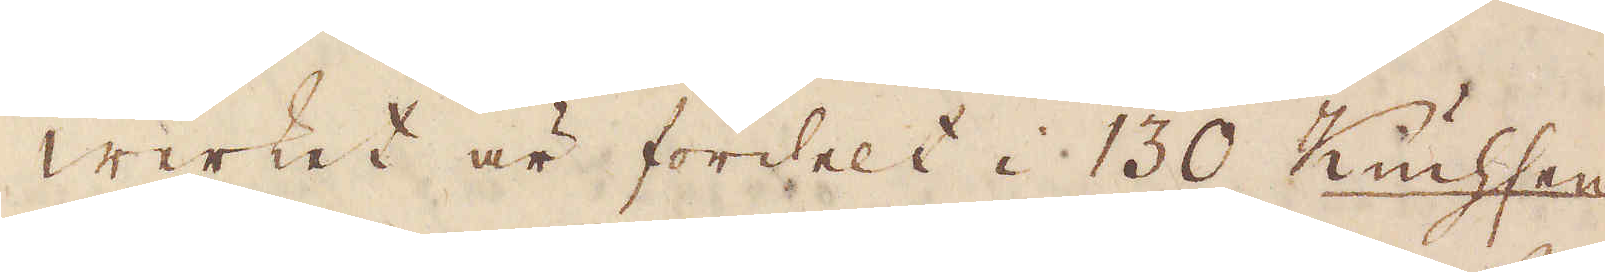Werket är fördelt i 130 Kiuchsen
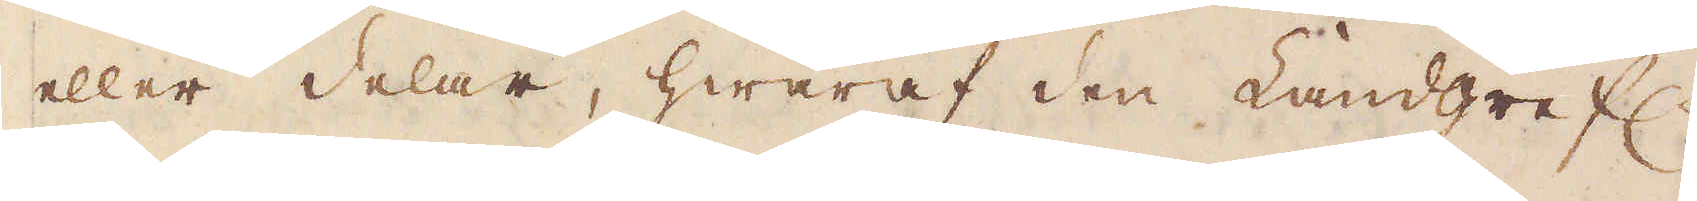eller delar, hwaraf den Landgrefl.
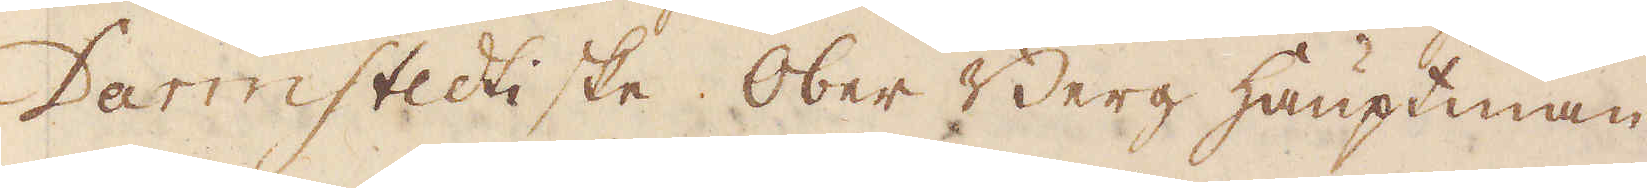Darmstedtiske Ober Berg hauptman
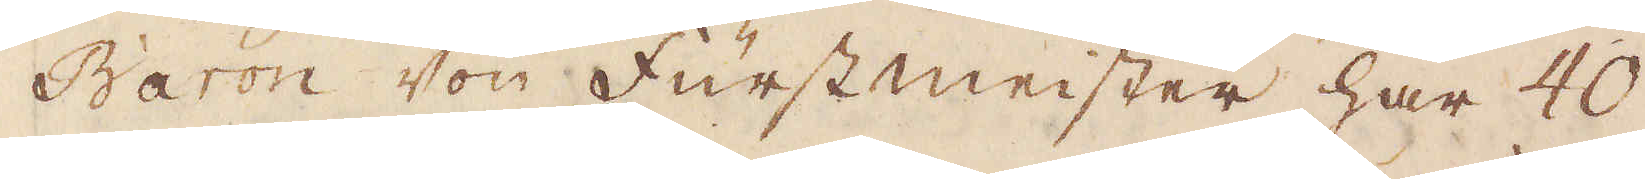Baron von Fürstmeister har 40
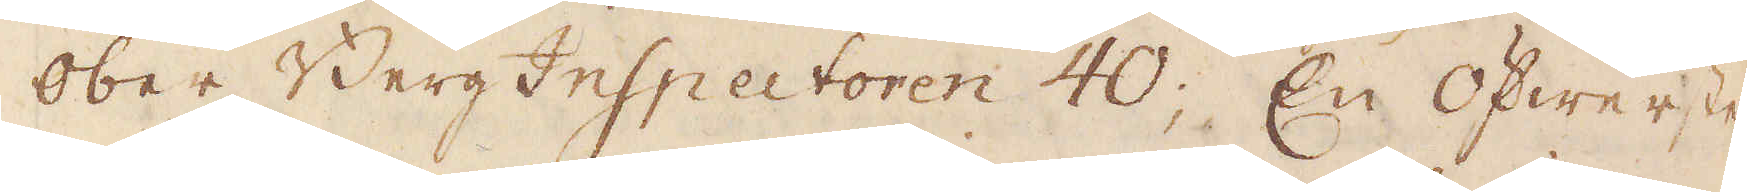Ober BergInspectoren 40; En Öfwerste,
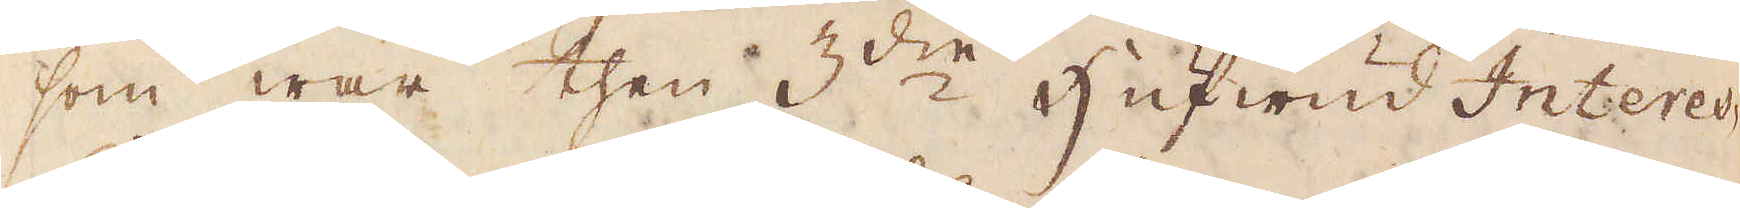som war then 3:die Hufwud Interes-
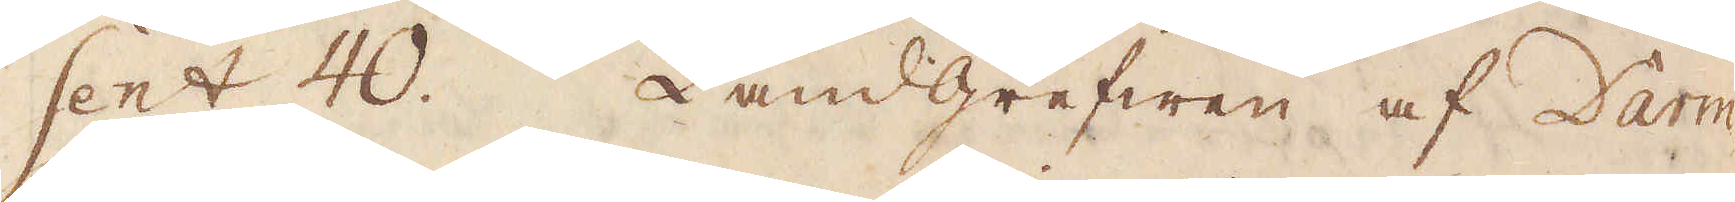sent 40. Landgrefwen af Darm-
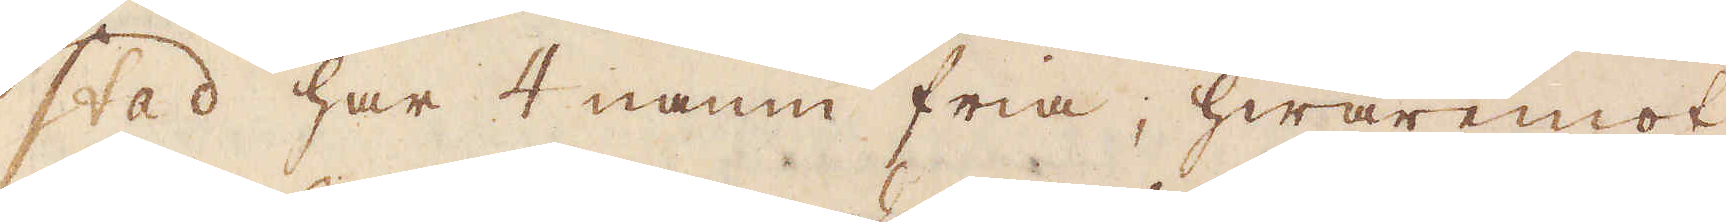stad har 4 namn fria, hwaremot
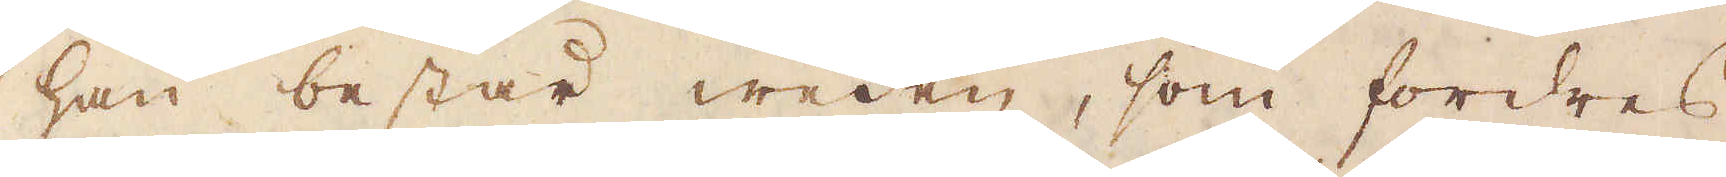han består weden, som fordres
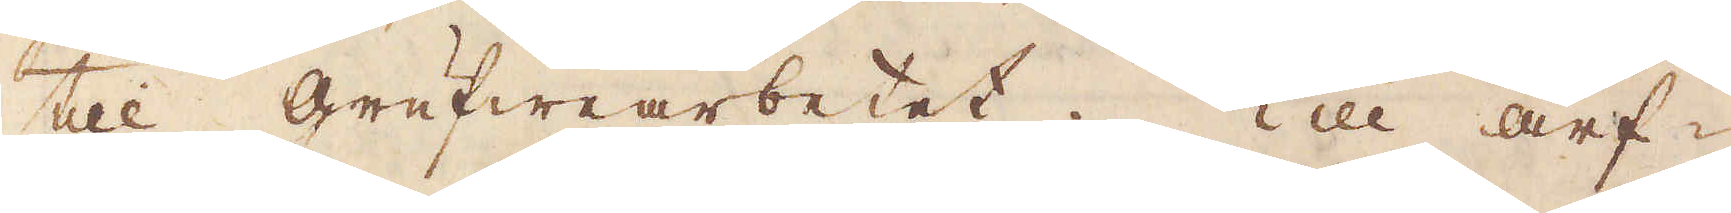till grufwearbetet. Till arf-
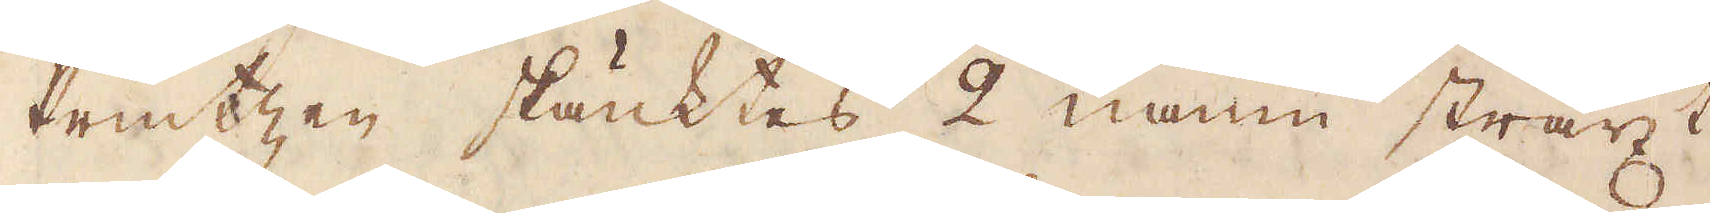Printzen skänktes 2 namn straxt
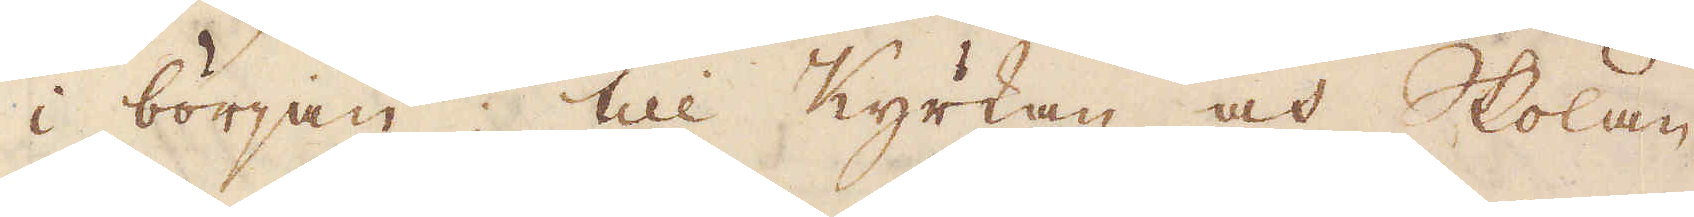i början, till Kyrkan och Skolan
